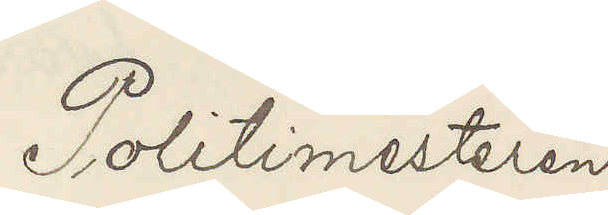Politimesteren
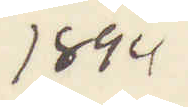1894
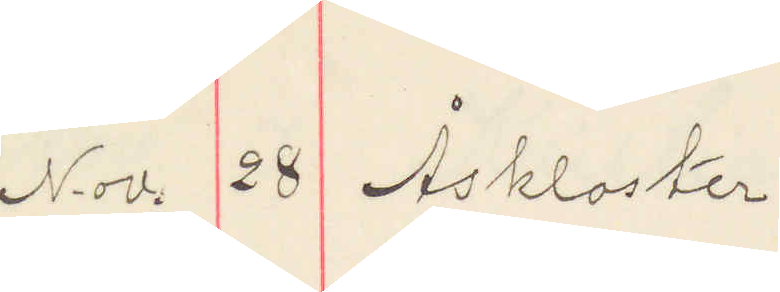Nov. 28 Åskloster
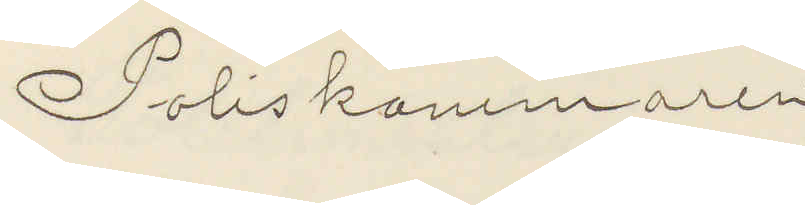Poliskammaren
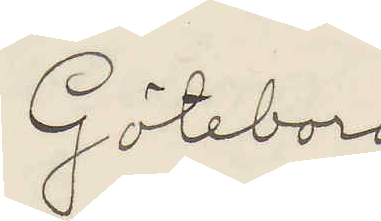Göteborg
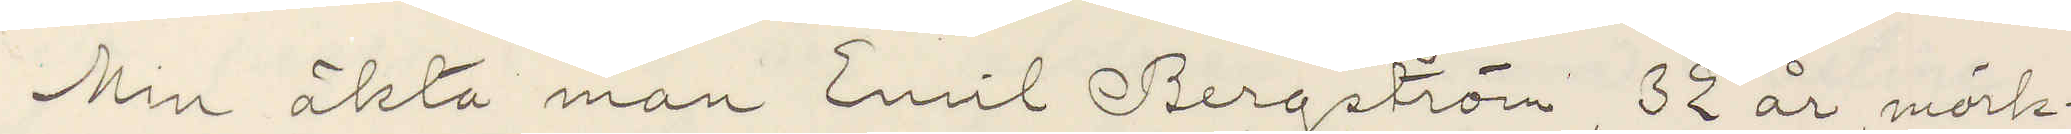Min äkta man Emil Bergström, 32 år, mörk¬
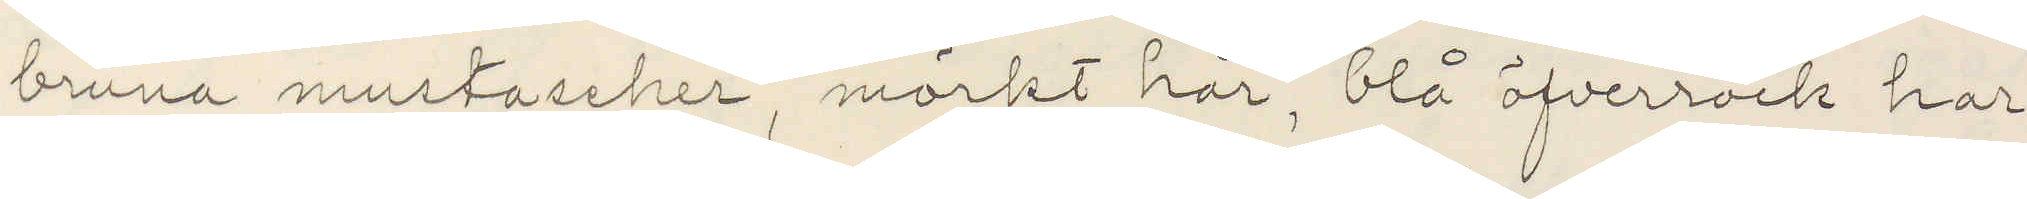bruna mustascher, mörkt hår, blå öfverrock har
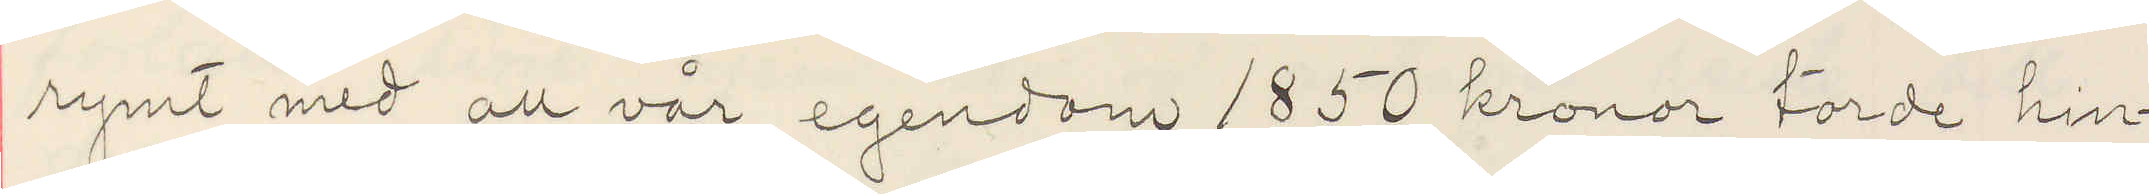rymt med all vår egendom 1850 kronor torde hin¬
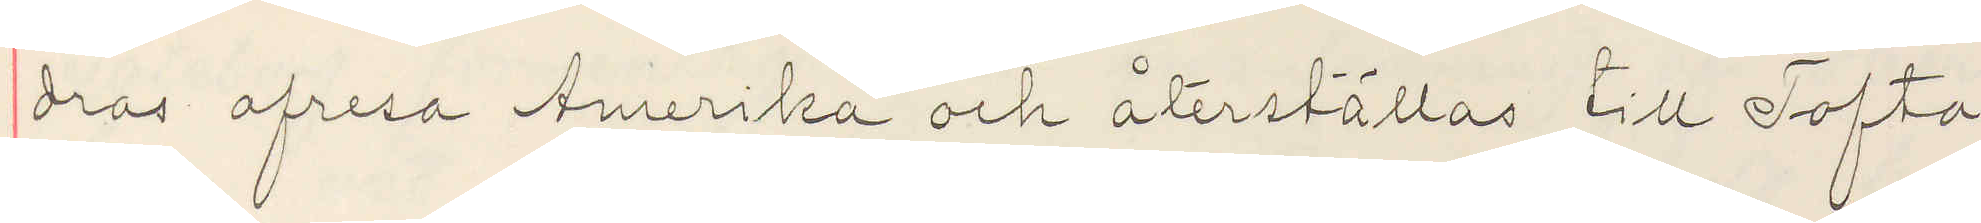dras afresa Amerika och återställas till Tofta
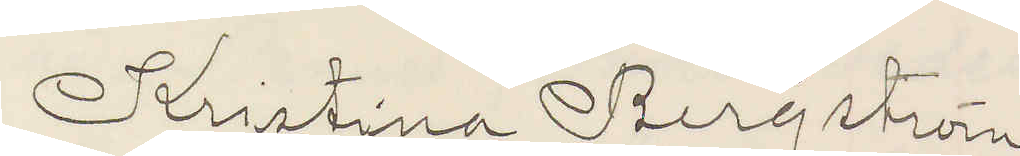Kristina Bergström
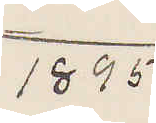1895
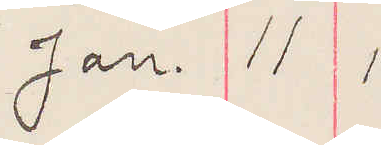Jan. 11 1.
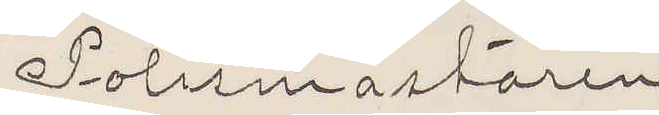Polismästaren
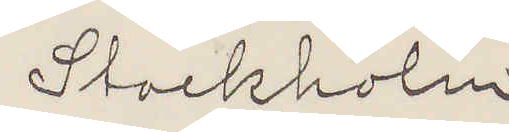Stockholm
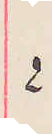2.
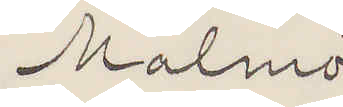Malmö
